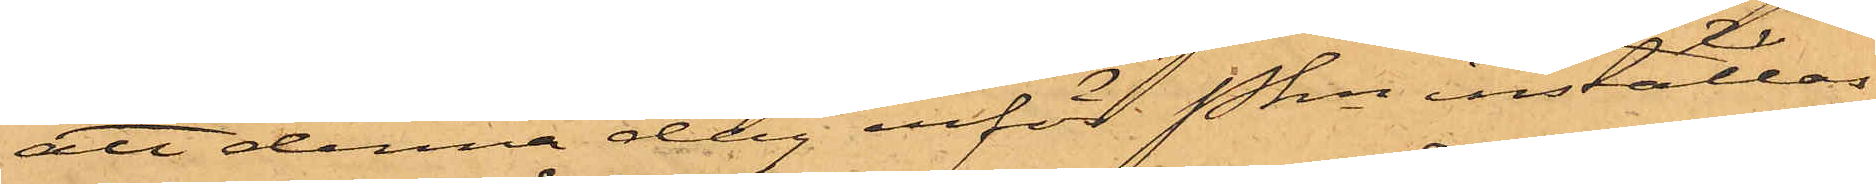att denna dag inför Pkn inställas,
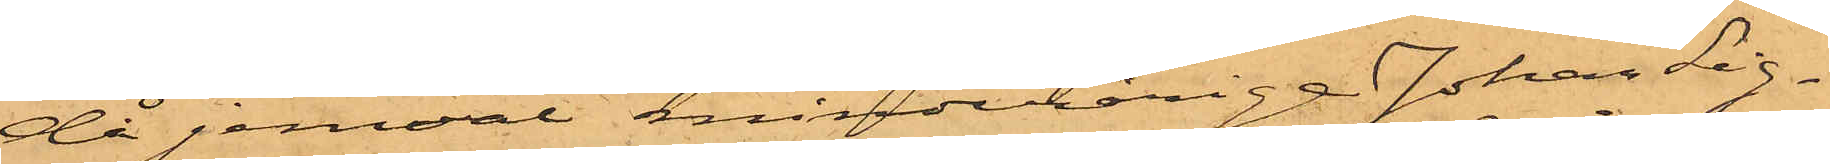då jemväl minderårige Johan Sig¬
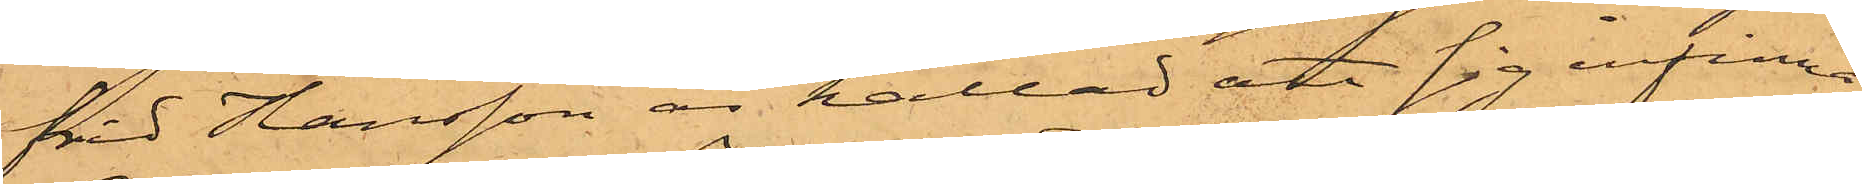frid Hansson är kallad att sig infinna.
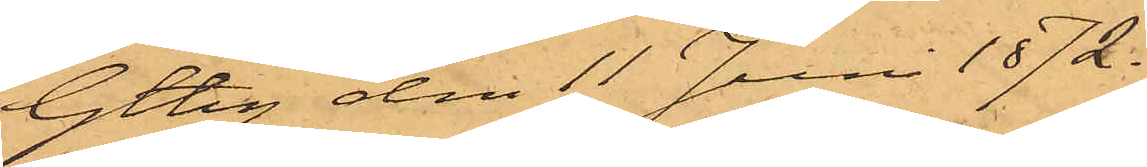Gtbg den 11 Juni 1872.
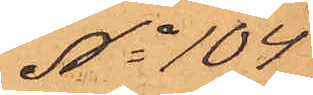No 104
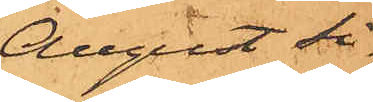August Si¬
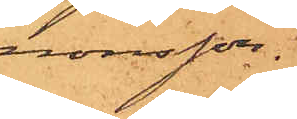monsson.
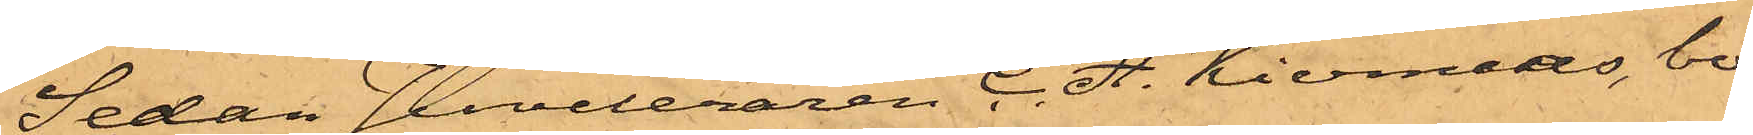Sedan Juveleraren C. A. Kiernaas, bo¬
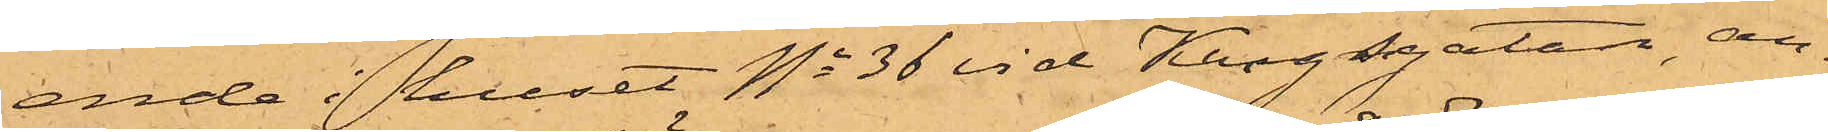ende i huset No 36 vid Kungsgatan, an¬
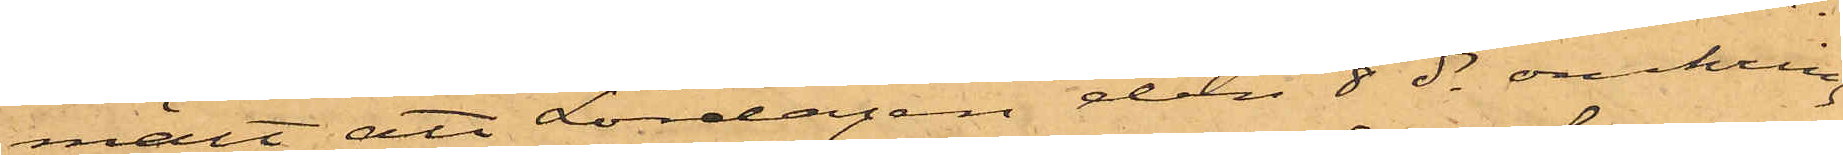mält att Lördagen den 8 ds omkring
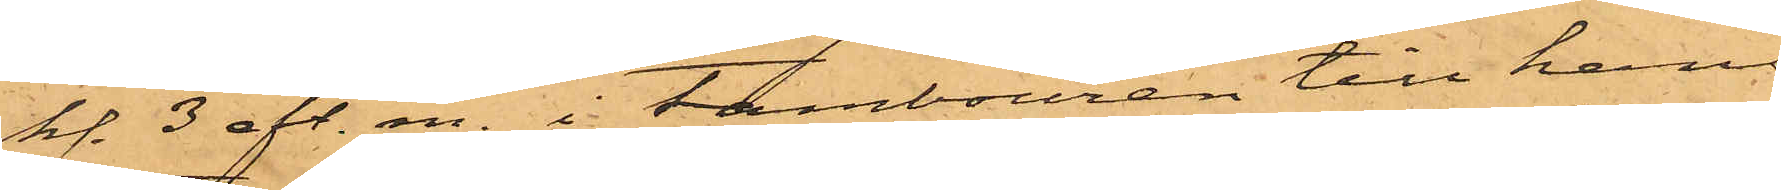kl. 3 eft. m. i tambouren till hans
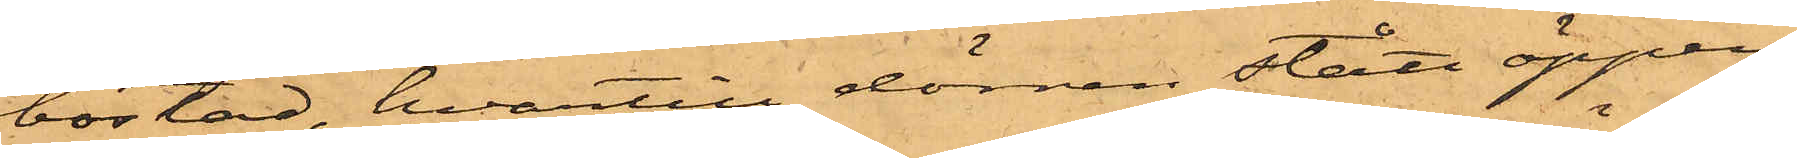bostad, hvartill dörren stått öppen,
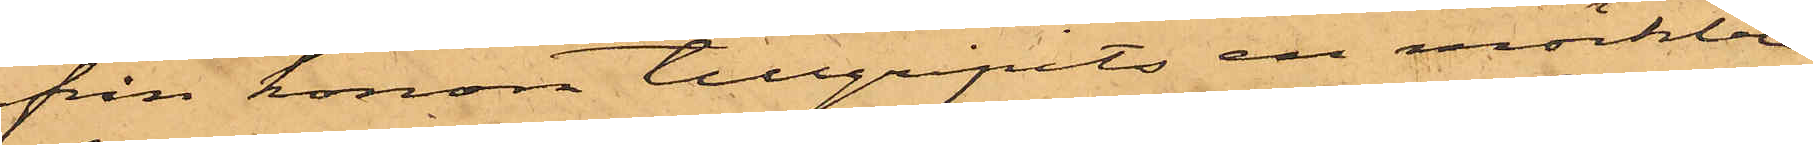från honom tillgripits en mörkblå
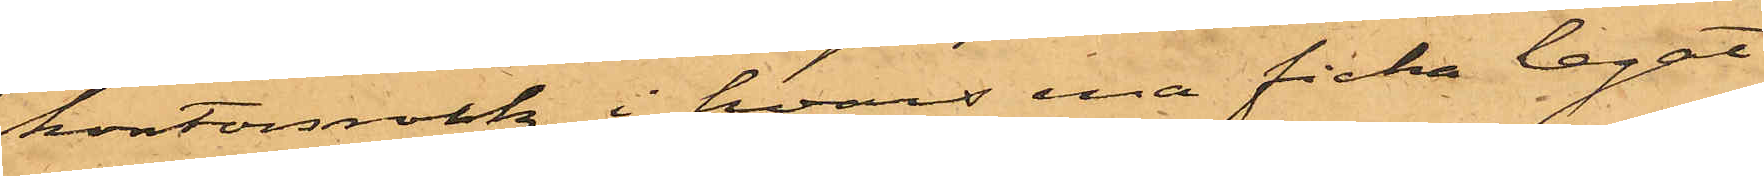kontorsrock, i hvars ena ficka legat
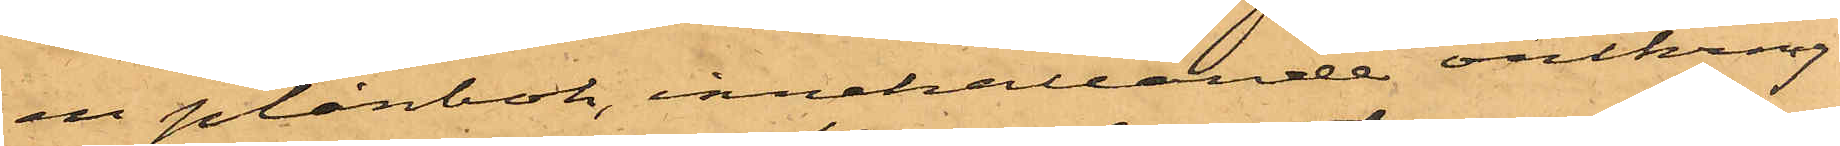en plånbok, innehållande omkring
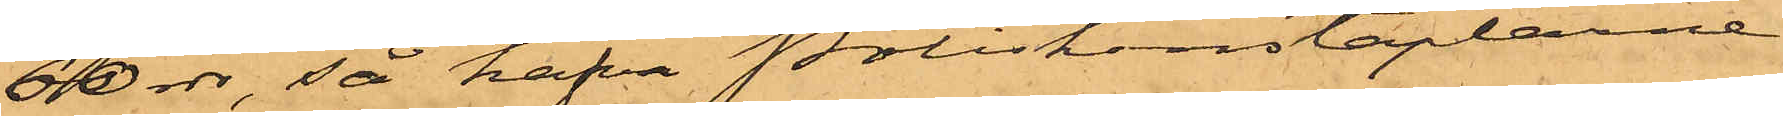60 rdr, så hafva Poliskonstaplarne
